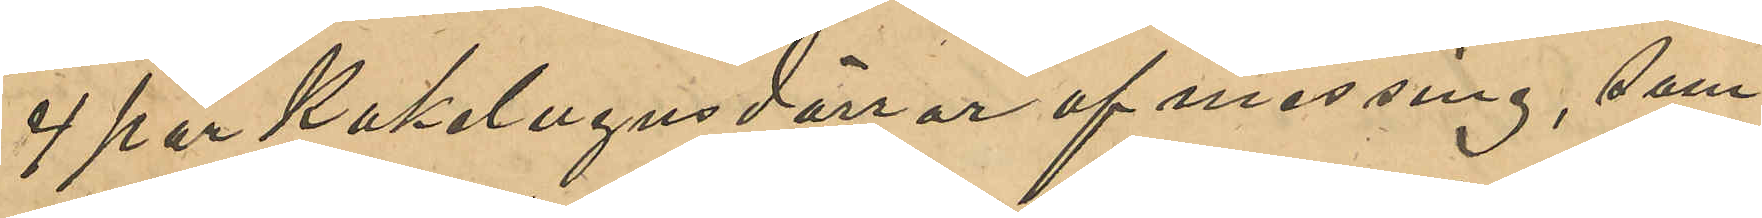4 par Kakelugnsdörrar af messing, som
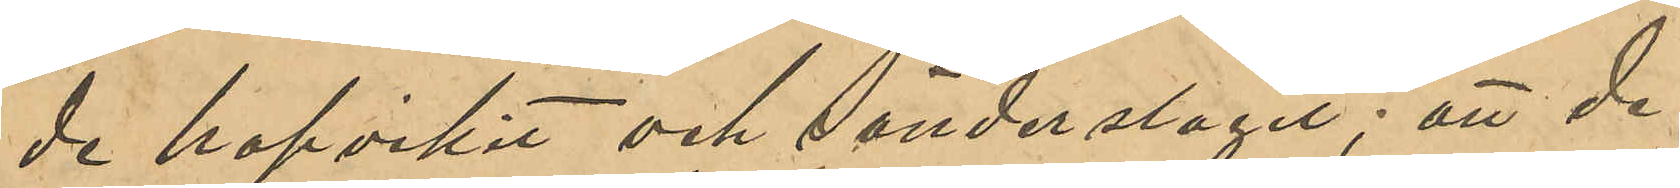de hopvikit och sönderslagit; att de
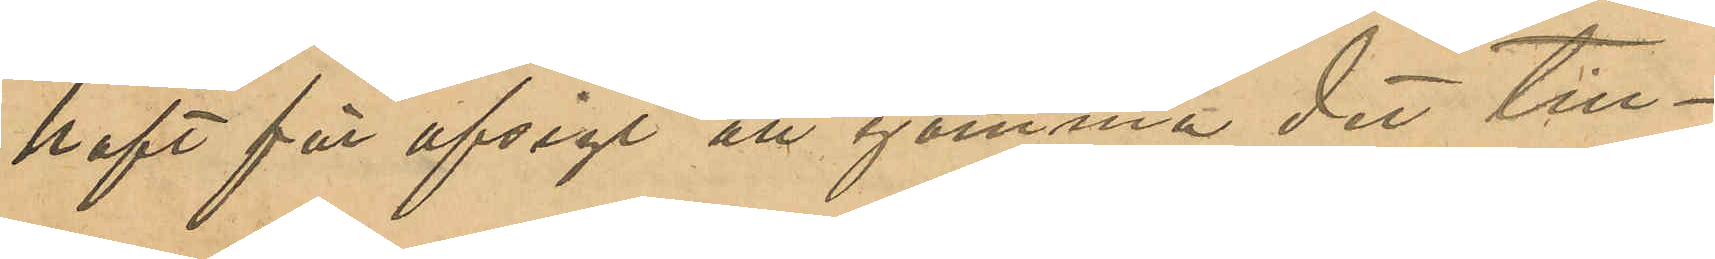haft för afsigt att gömma det till¬
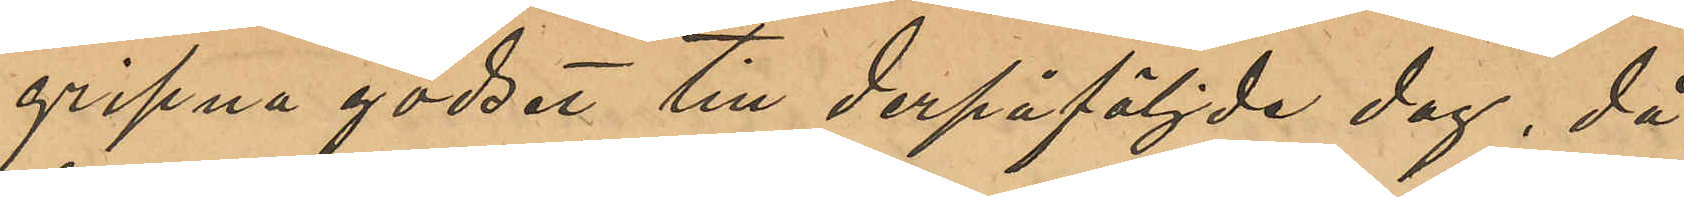gripna godset till derpåföljde dag, då
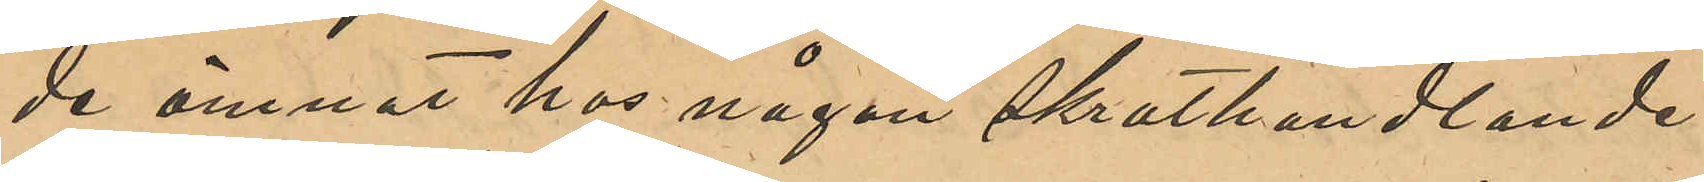de ämnat hos någon skrothandlande
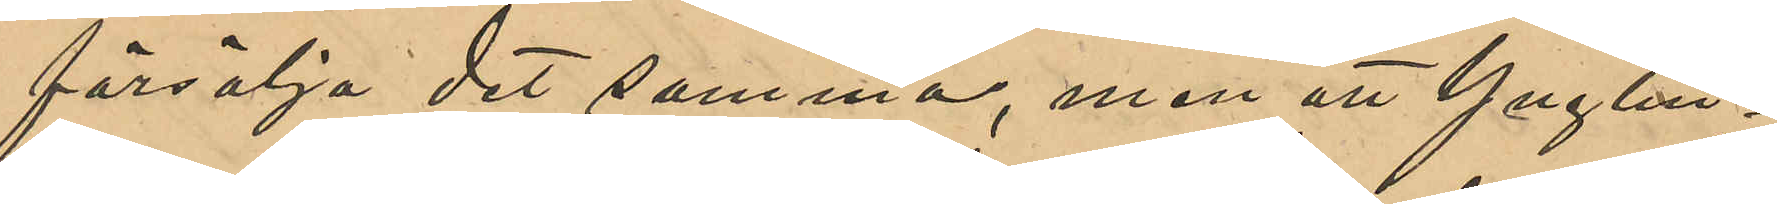försälja de samma, men att Ynglin¬
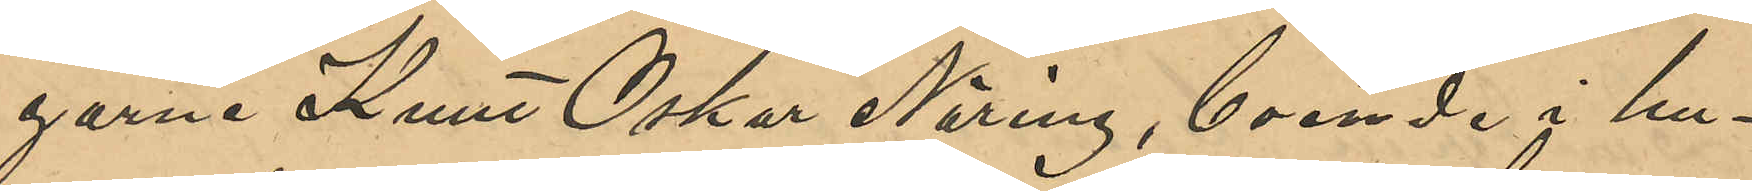garne Knut Oskar Näring, boende i hu¬
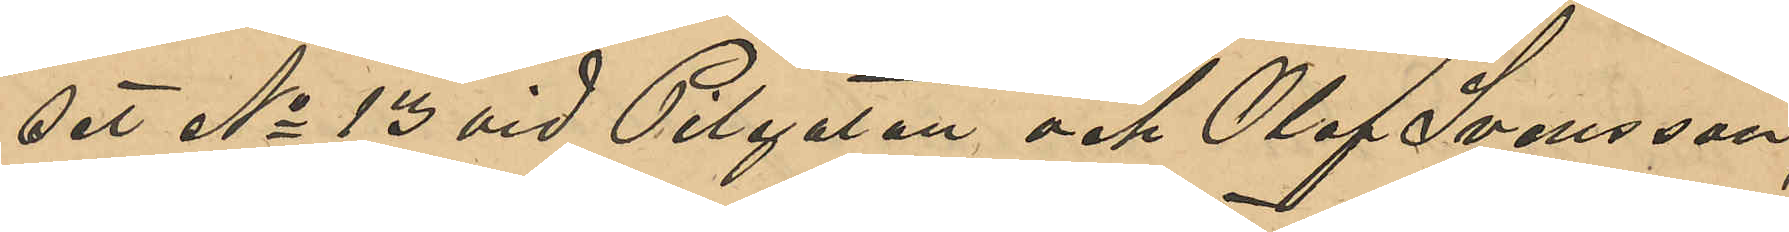set No 13 vid Pilgatan och Olof Svensson, 
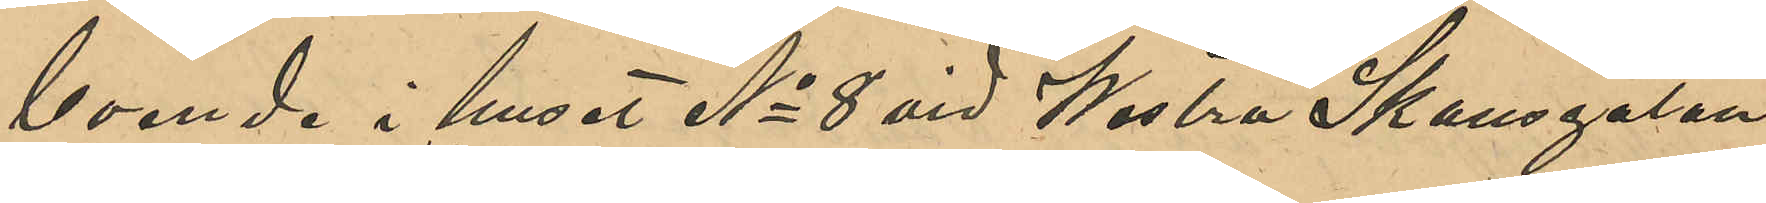boende i huset No 8 vid Westra Skansgatan
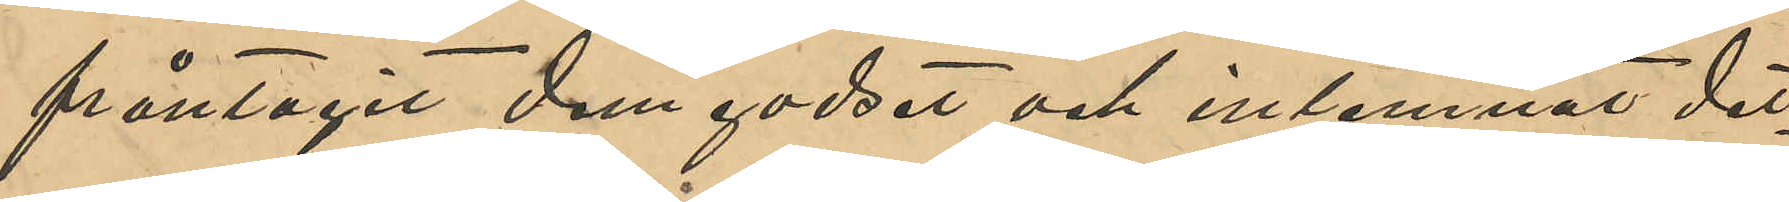fråntagit dem godset och inlemnat det¬
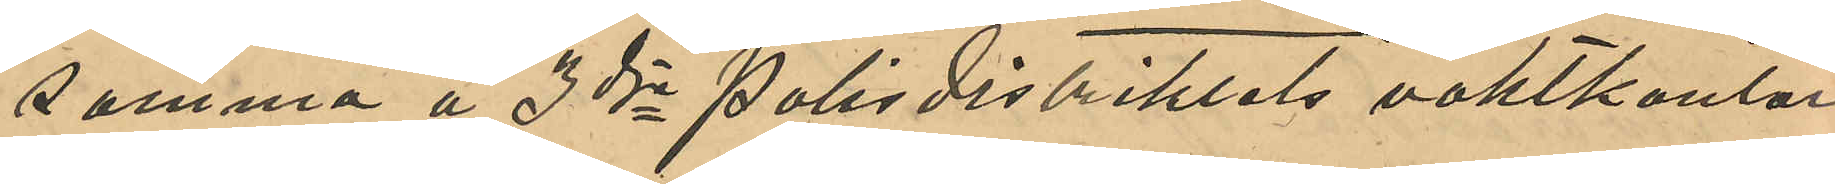samma å 3dje Polisdistriktets vaktkontor.
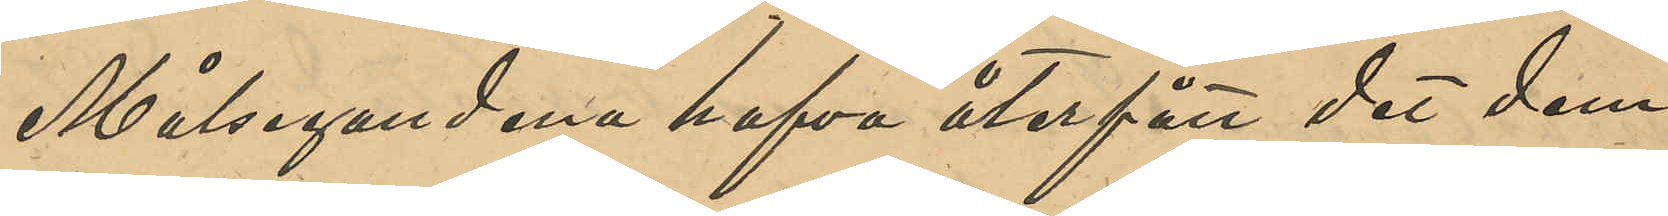Målsegandena hafva återfått det dem
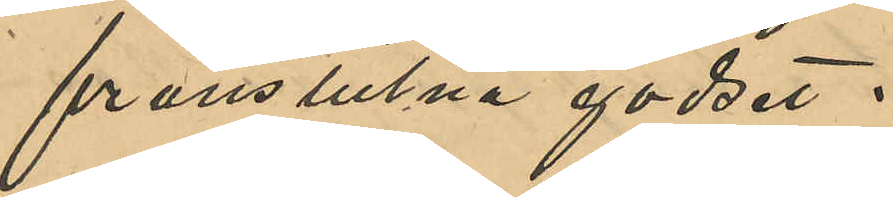frånstulna godset.
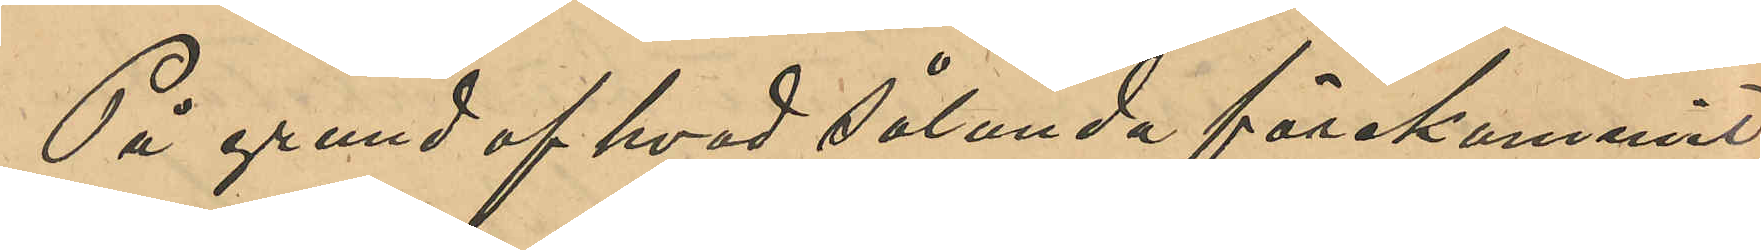På grund af hvad sålunda förekommit
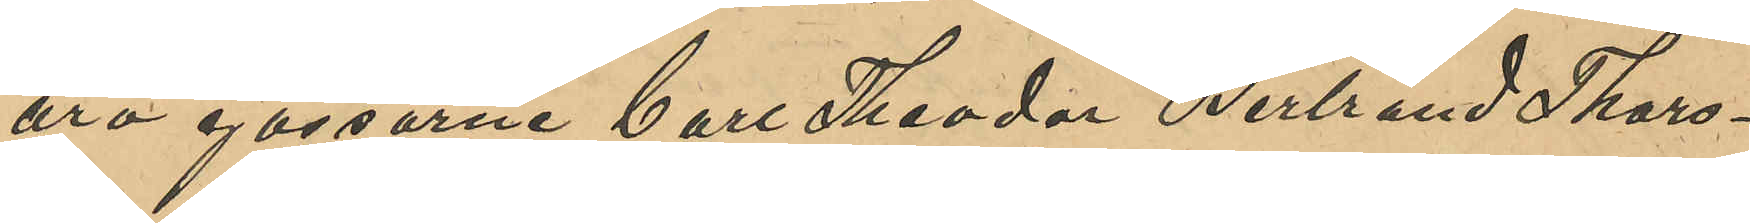äro gossarne Carl Theodor Bertrand Thors¬
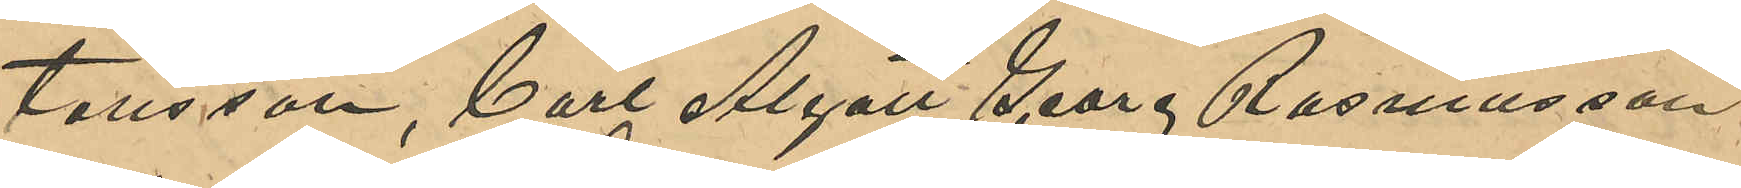tensson, Carl Algot Georg Rasmusson
